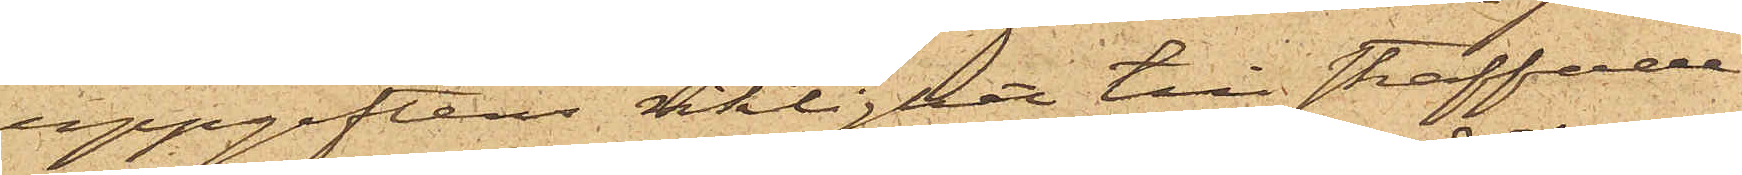uppgiftens riktighet till straffade
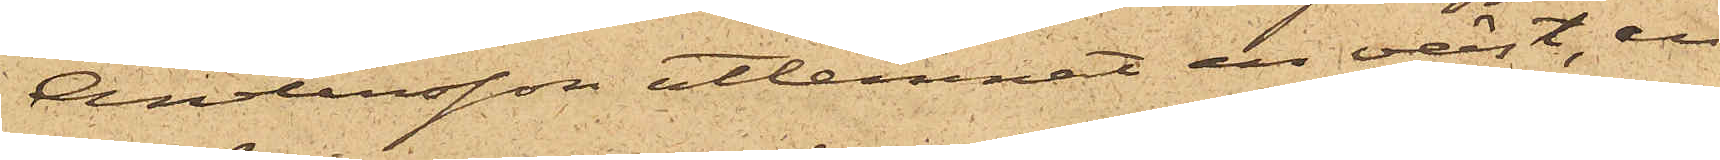Andersson utlemnat en väst, en
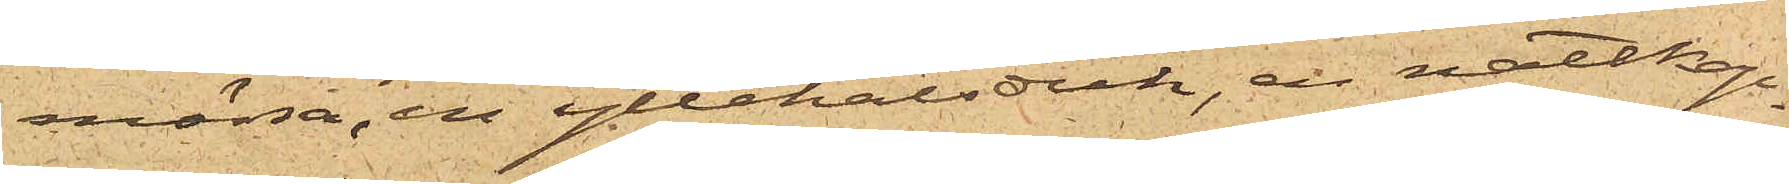mössa, en yllehalsduk, en nattkap¬
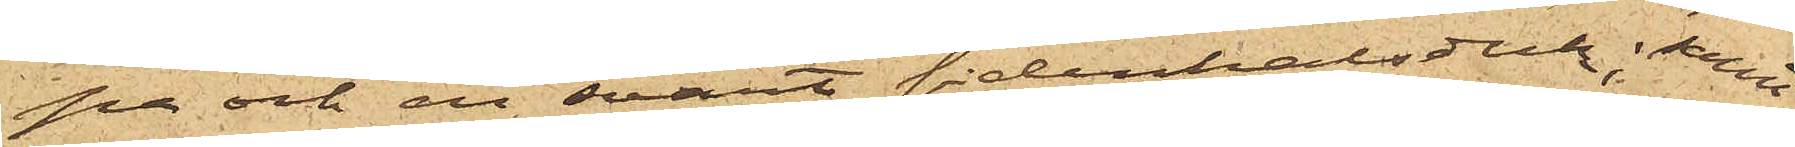pa och en svart sidenhalsduk; samt
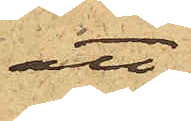att
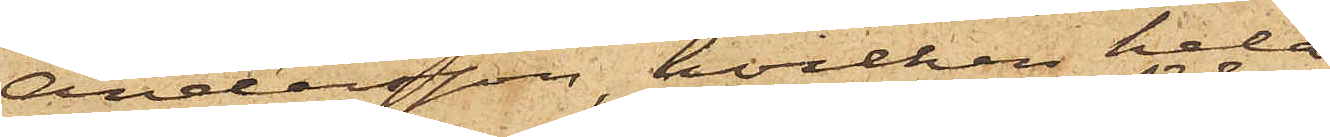Andersson, hvilken hela
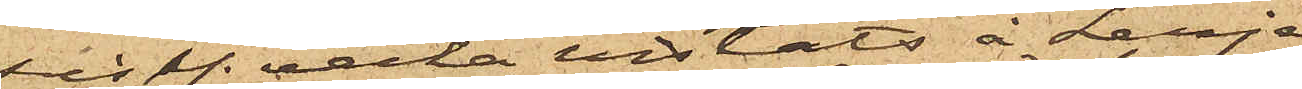sistl. vecka vistats å Lerje
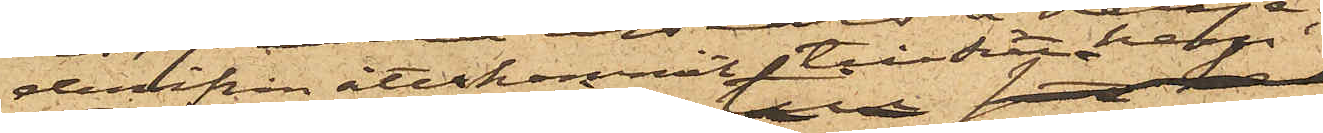derifrån återkommit till sitt hem
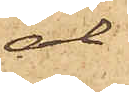al¬
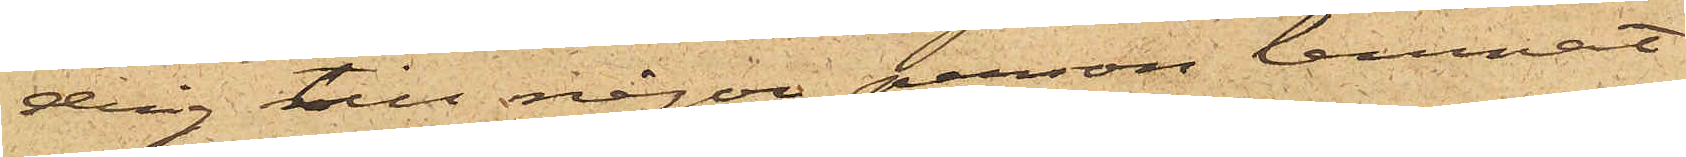drig till någon person lemnat
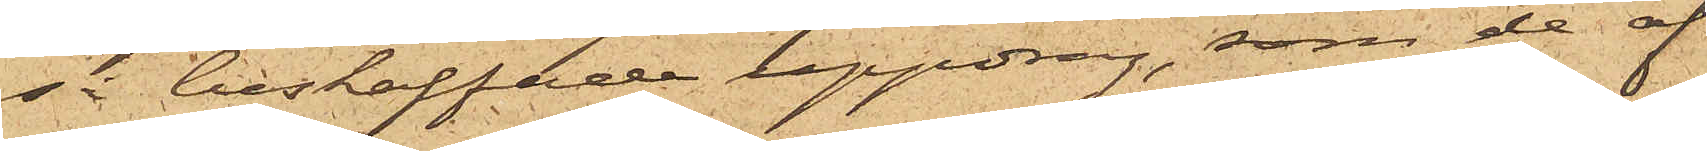så beskaffade uppdrag, som de af
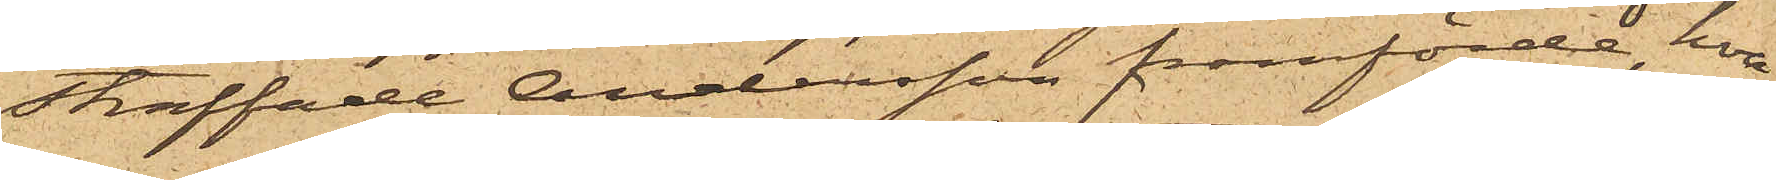straffade Andersson framförde, hvar¬
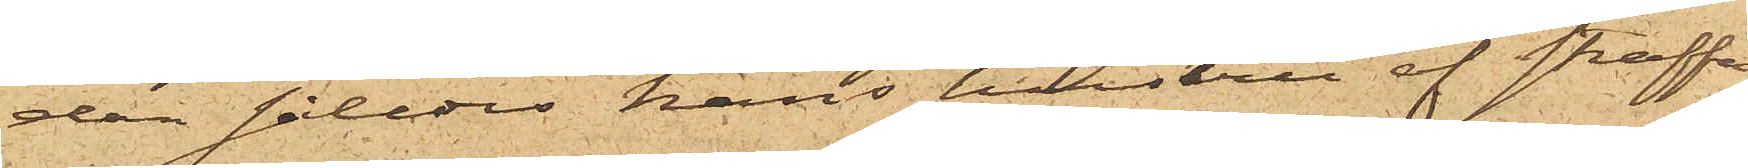dan således hans hustru af straffa¬
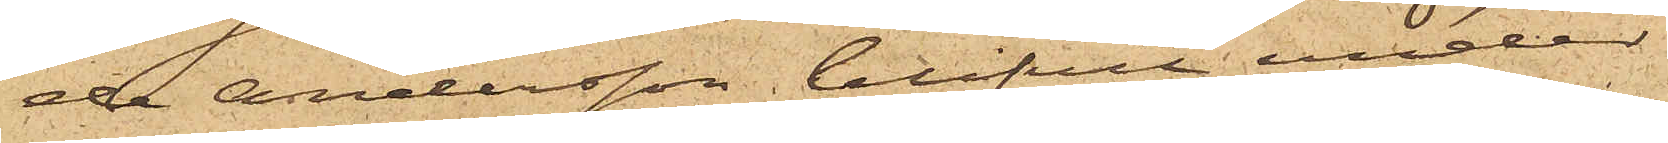de Andersson blifvit under
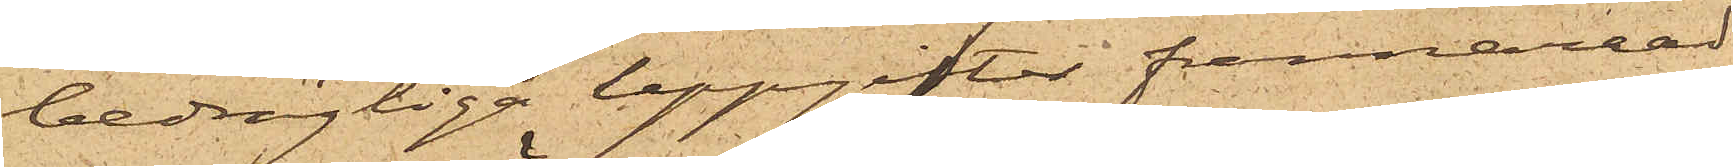bedrägliga uppgifter frånnarrad
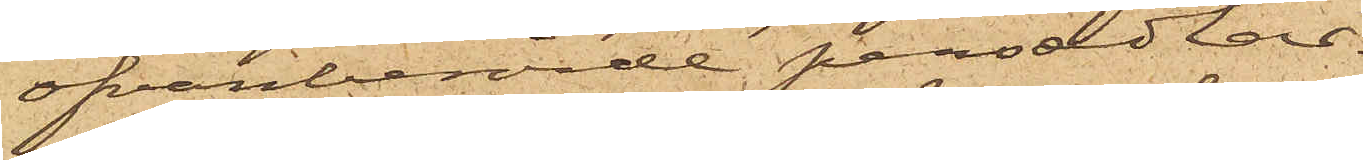ofvanberörde persedlar.
